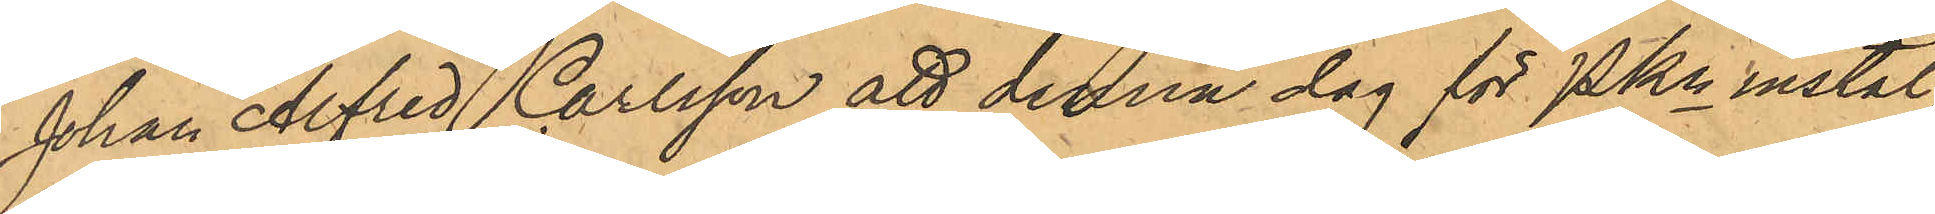Johan Alfred Carlsson att denna dag för PKn instäl¬
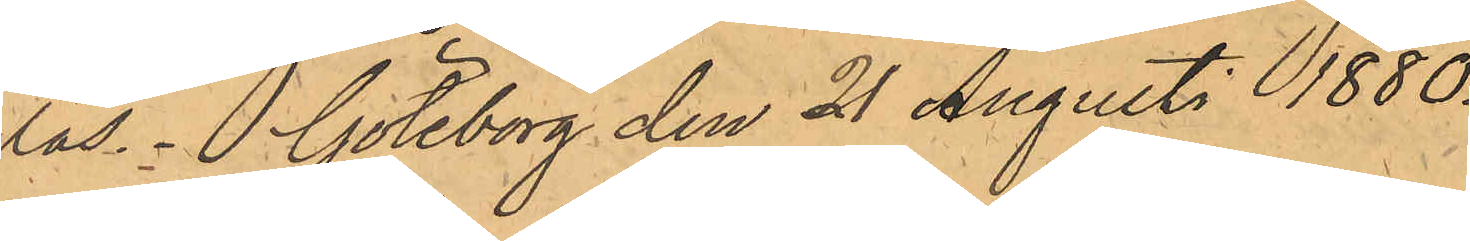las. Göteborg den 21 Augusti 1880.
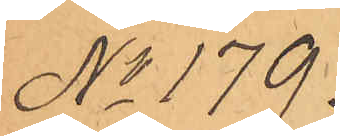No 179.
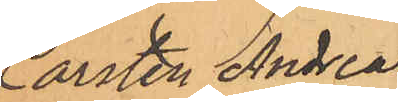Carsten Andreas
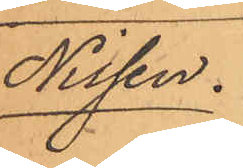Nissen.
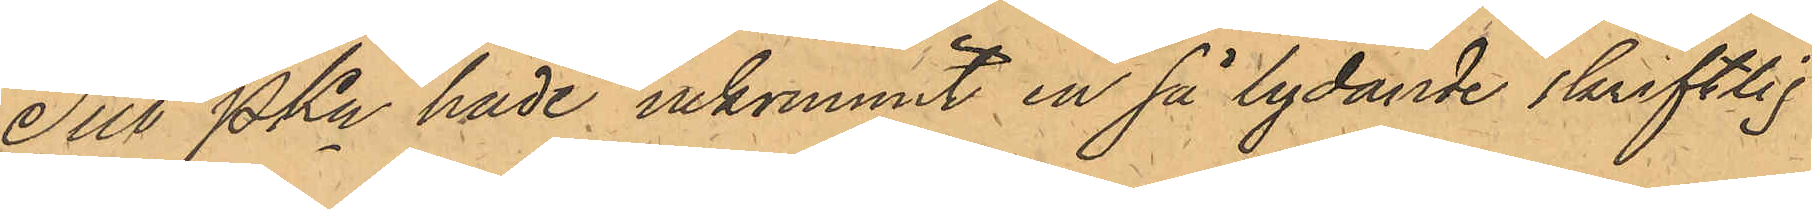Till PKn hade inkommit en så lydande skriftlig
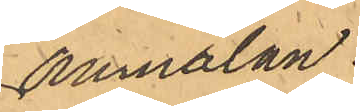anmälan;
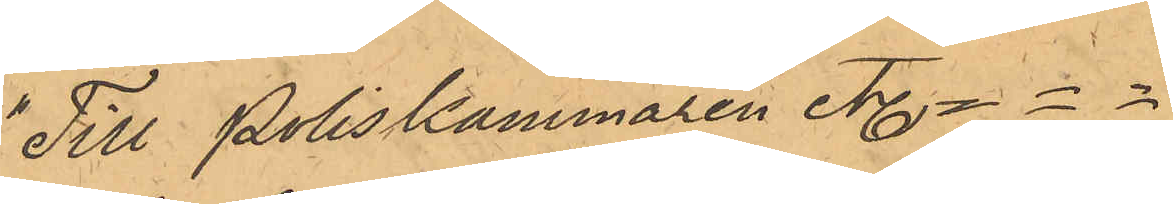Till Poliskammaren etc. - - -
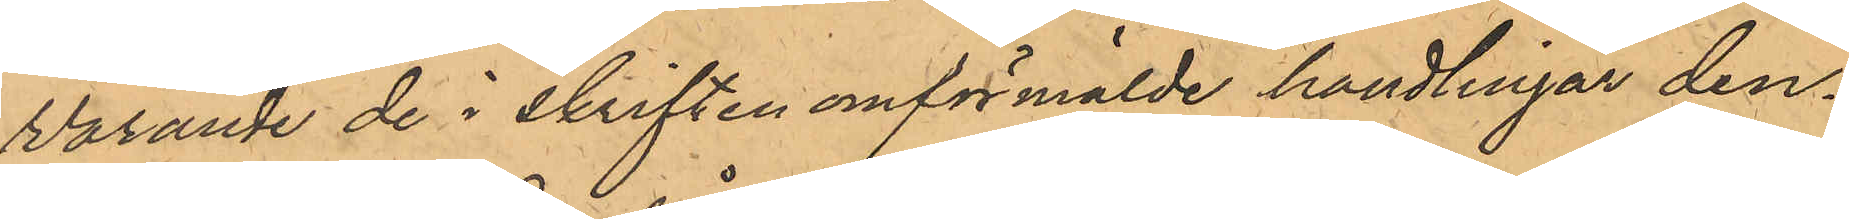Varande de i skriften omförmälde handlingar den¬
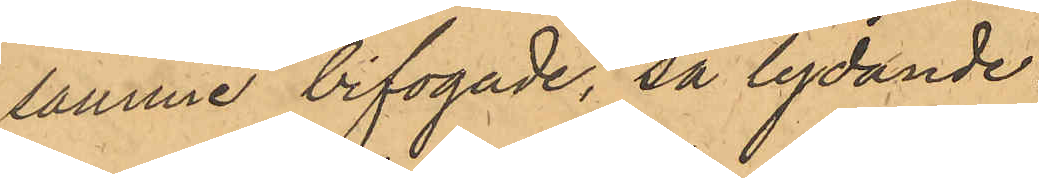samme bifogade, så lydande:
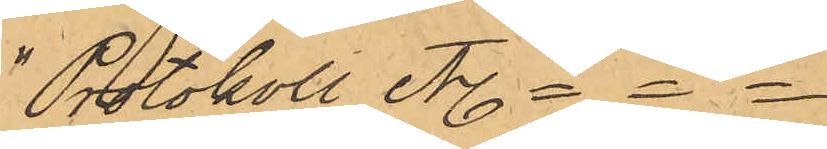"Protokoll etc. ---
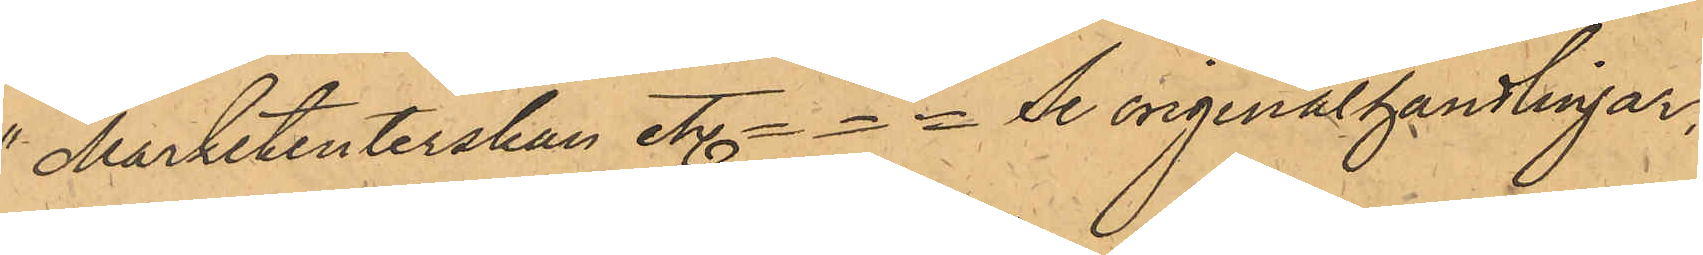"Marketenterskan etc. - - - Se originalhandlingar,
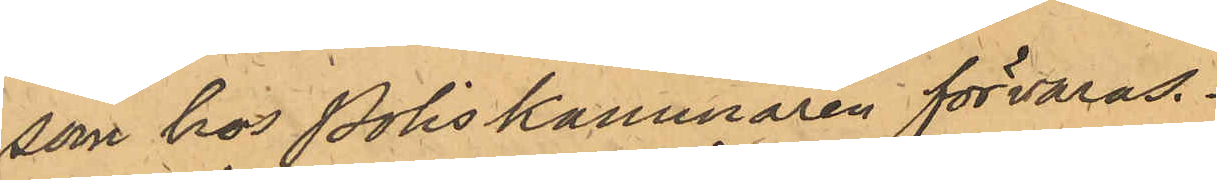som hos Poliskammaren förvaras.
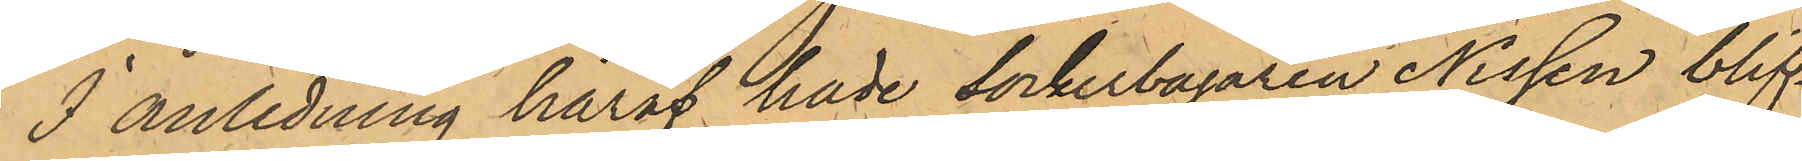I anledning häraf hade sockerbagaren Nissen blif¬
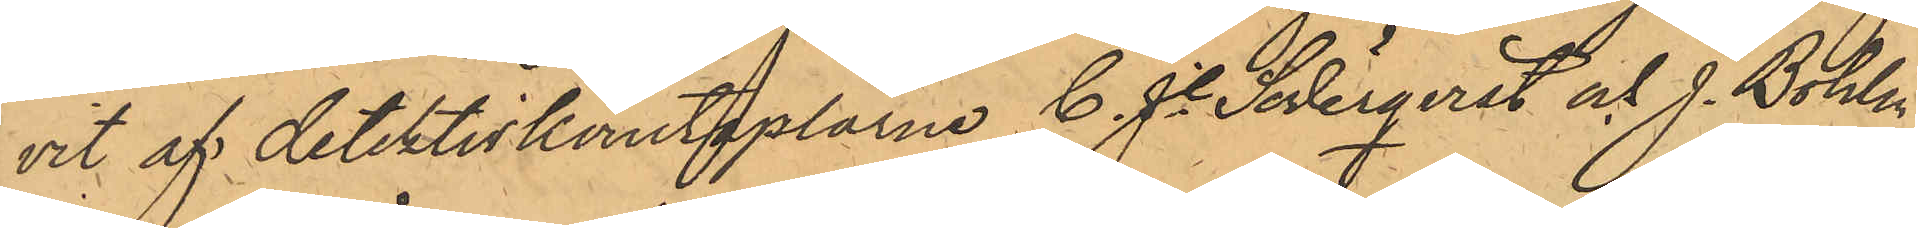vit af detektivkonstaplarne C. J. Söderqvist och J. Bohlin
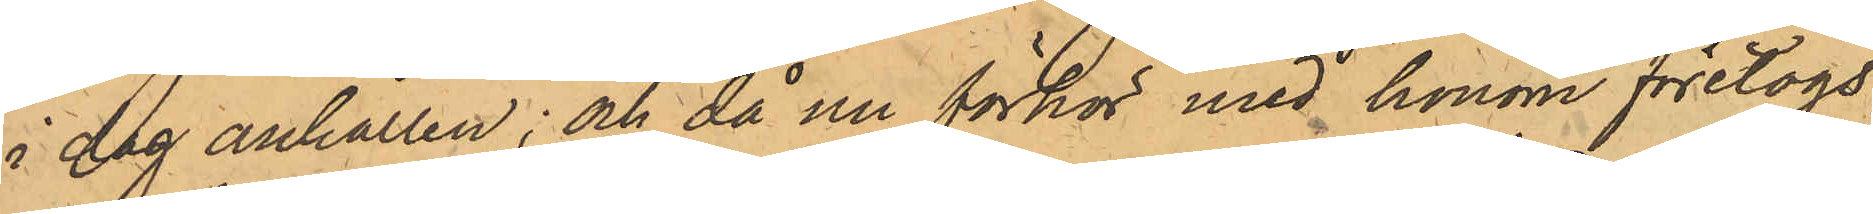i dag anhållen; och då nu förhör med honom företogs,
